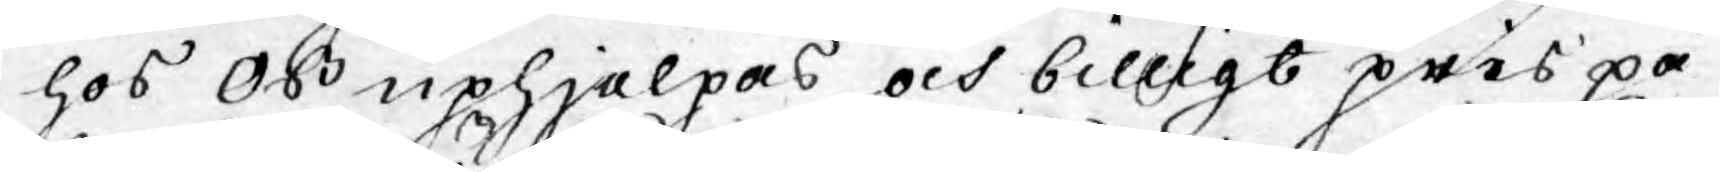hos oss uphjelpas och billigt pris på
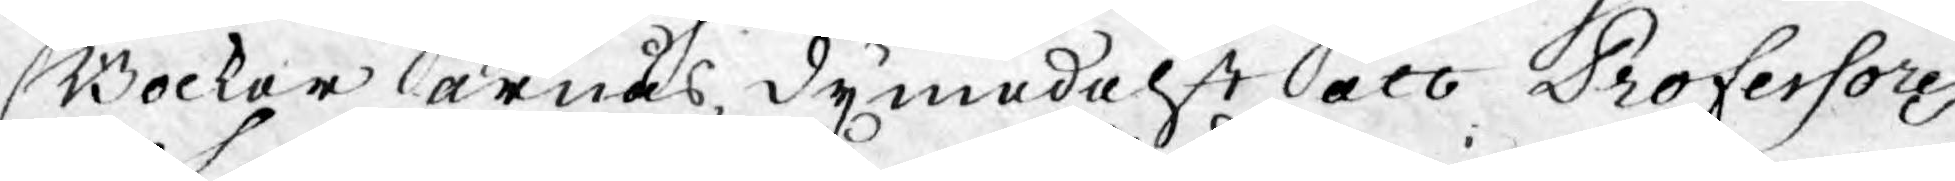Böcker ärnås, dymedelst att Professores
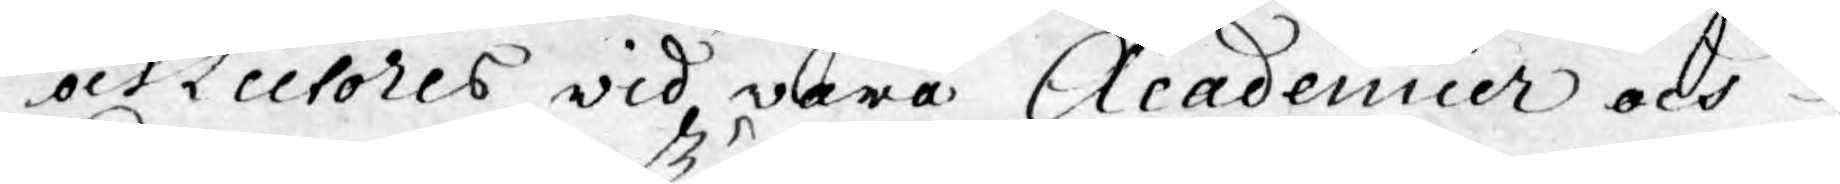och Lectores wid wåra Academier och
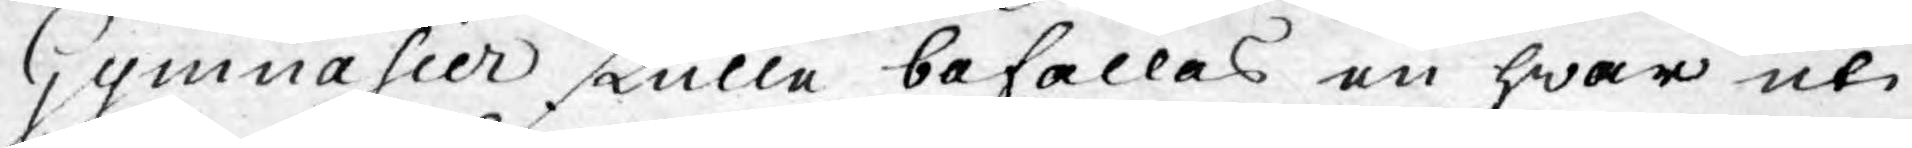Gymnasier skulle befallas en hwar uti
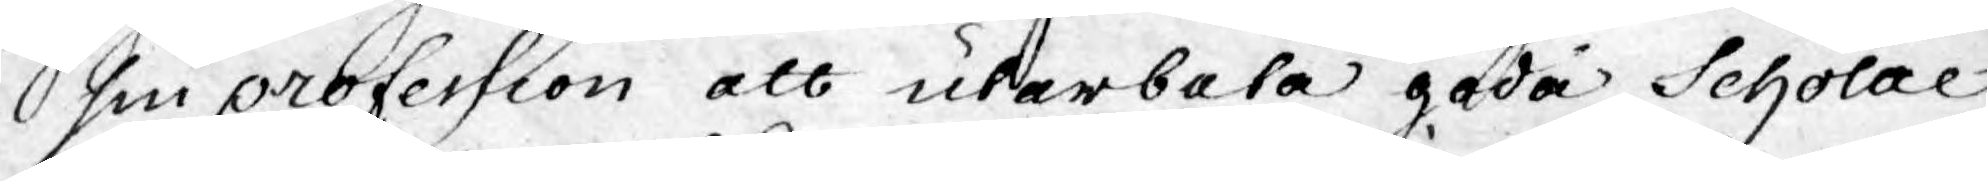sin profession att utarbeta goda Scholae
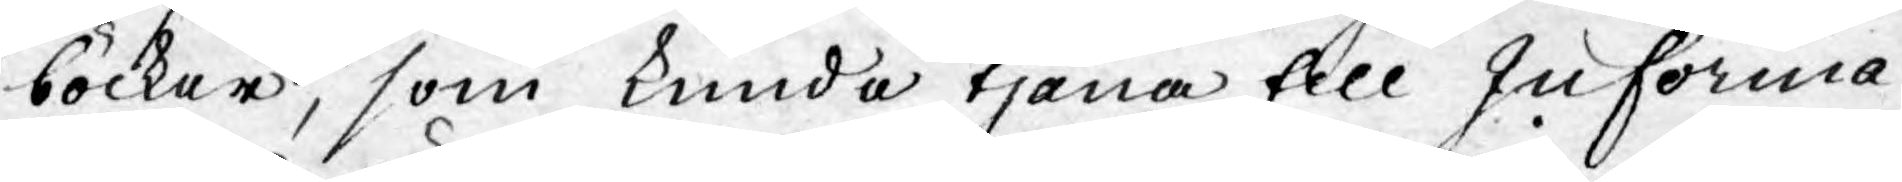böcker, som kunde tjäna till Informa¬
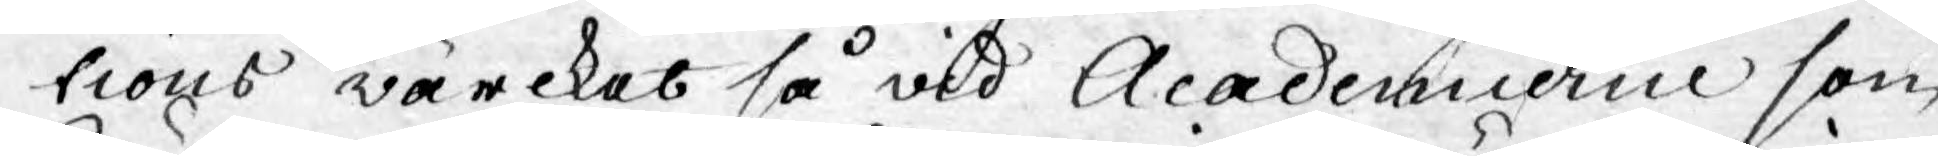tions wärcket så vid Academierna som
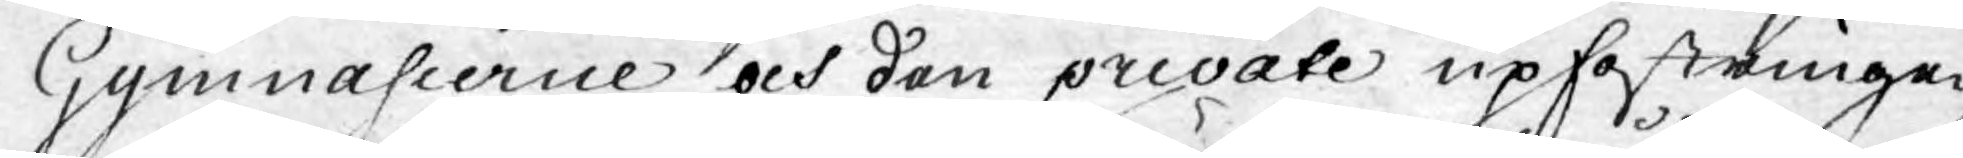Gymnasierna och den private upfostringen
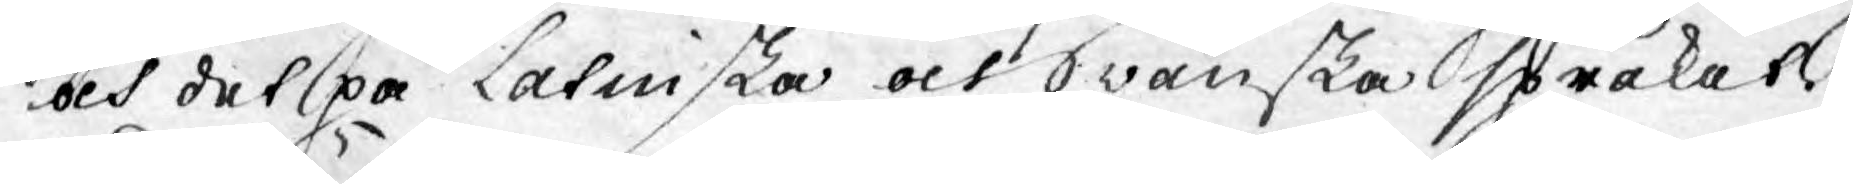och det på Latinska och Swänska språket.
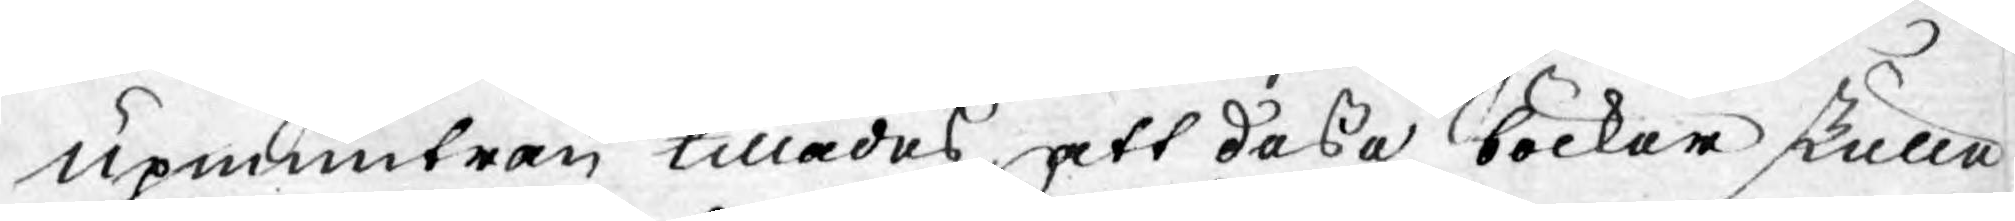Upmuntran tillades att desse böcker skulle
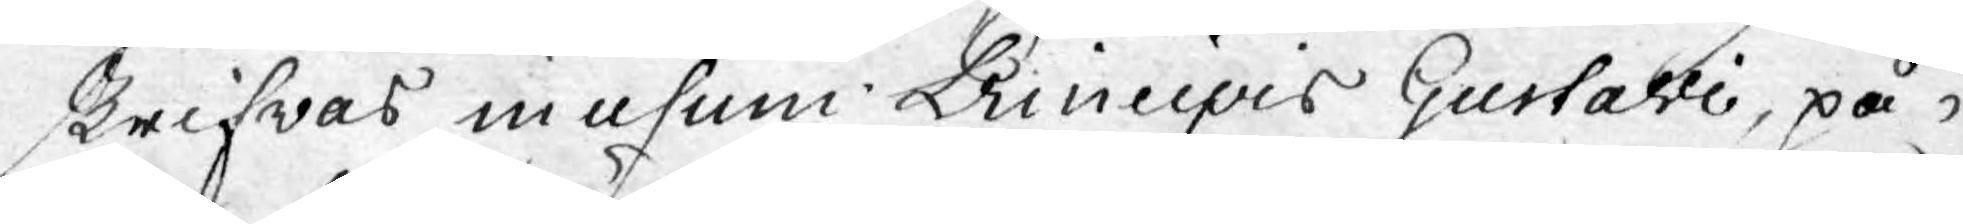skrifwas in usum Principis Gustavi, på
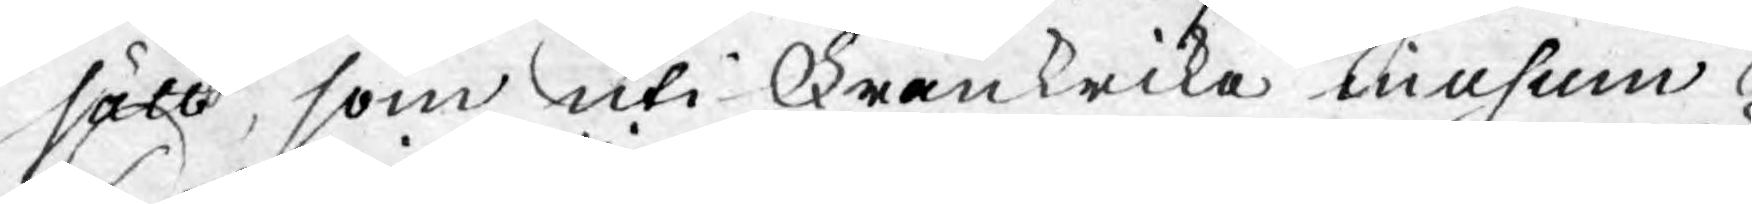sätt, som uti Frankrike in usum
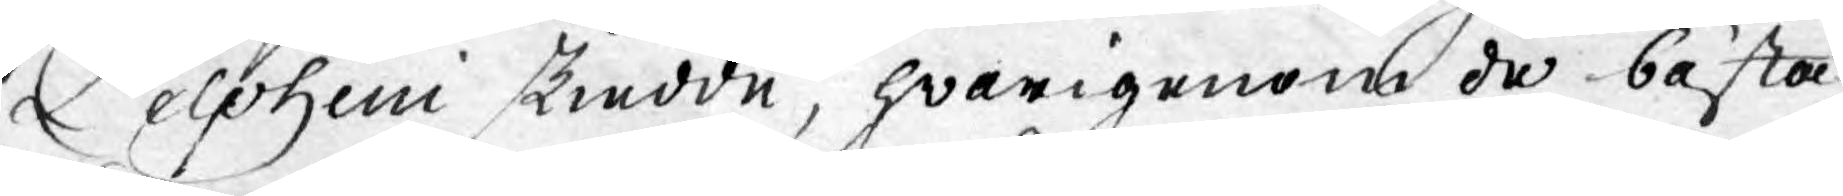Delphini skiedde, hwarigenom de bästa
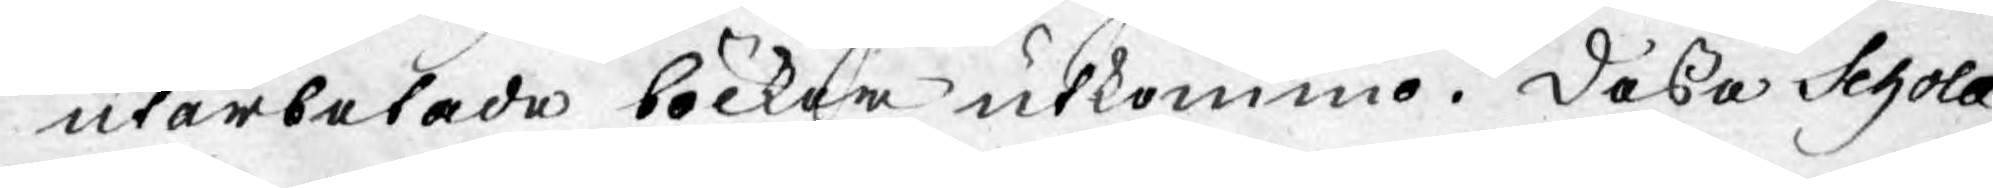utarbetade böcker utkommo. Dessa Schola
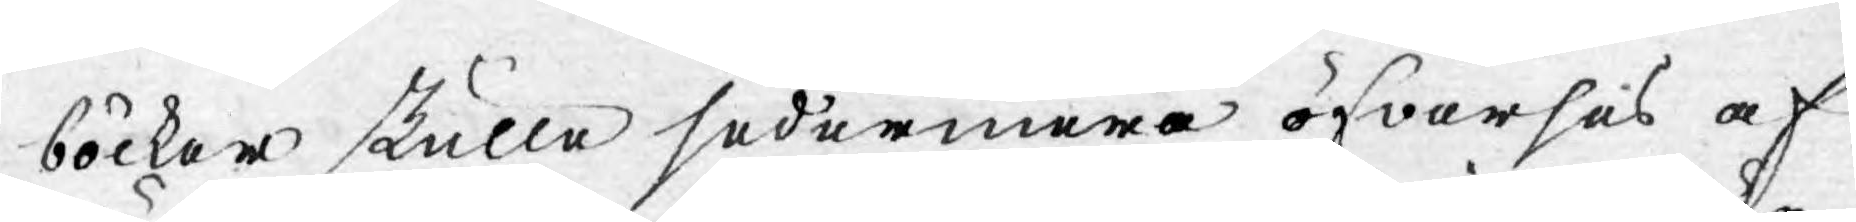böcker skulle sedermera öfwerses af
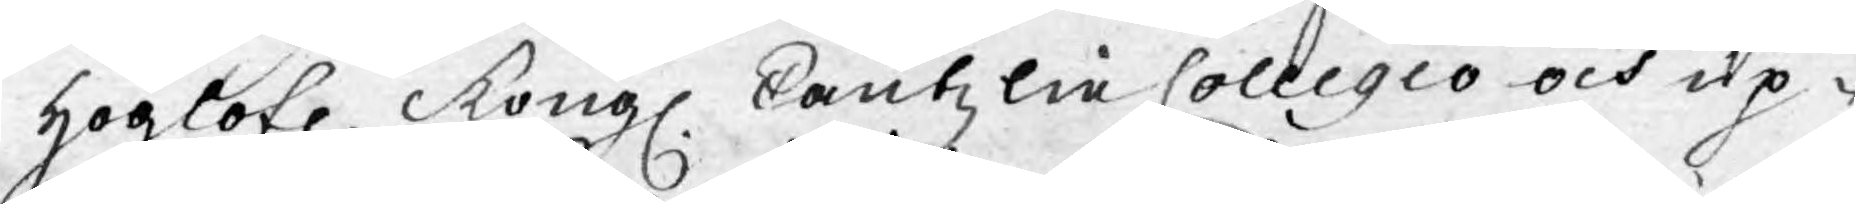Höglofl. Kongl. Cantzli Collegio och up¬
